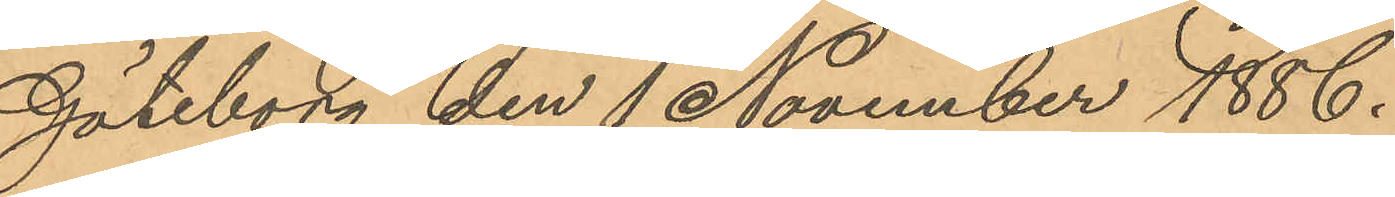Göteborg den 1 November 1886.
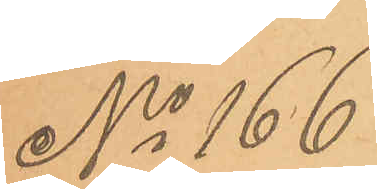No 166
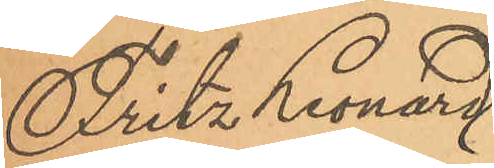Fritz Leonard
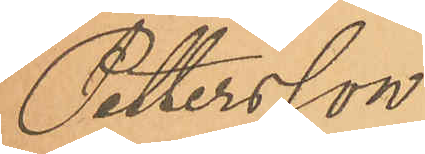Pettersson
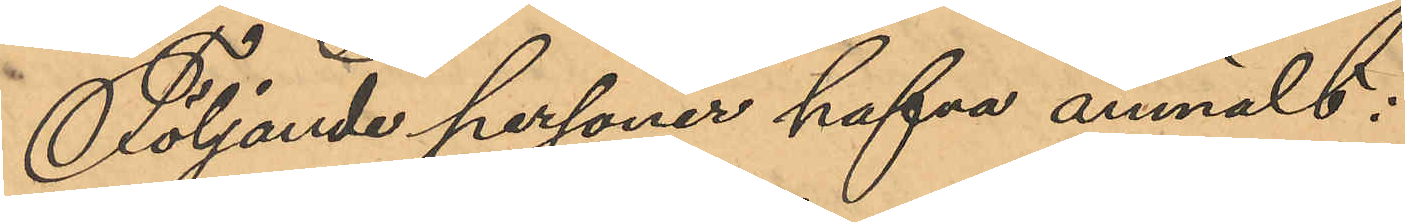Följande personer hafva anmält:
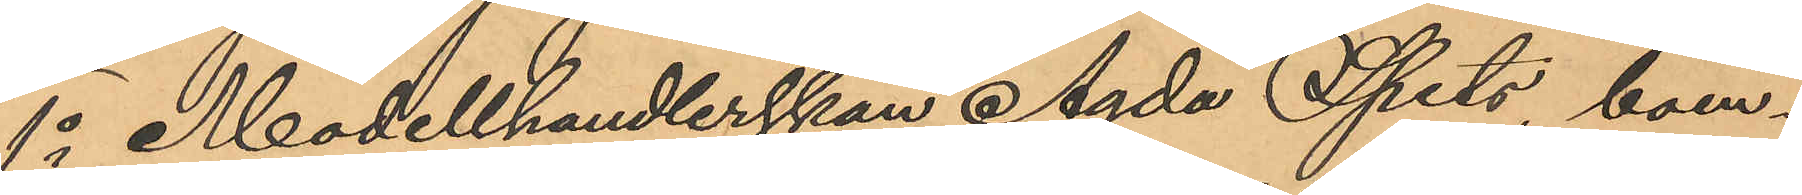1o Modellhandlerskan Agda Spets, boen¬
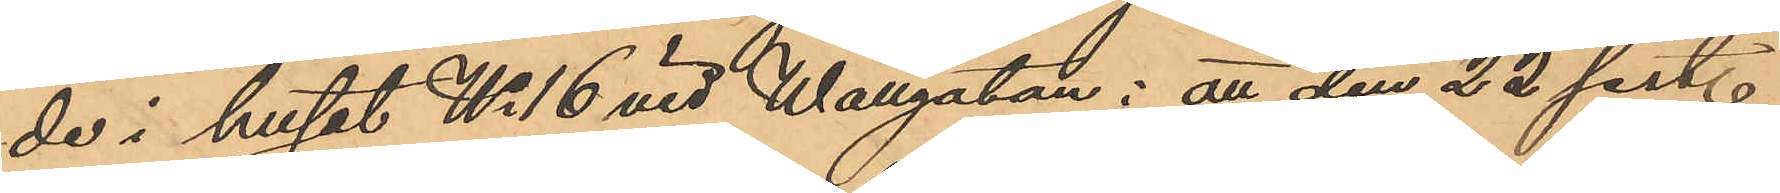de i huset No 16 vid Wallgatan: att den 22 sist.
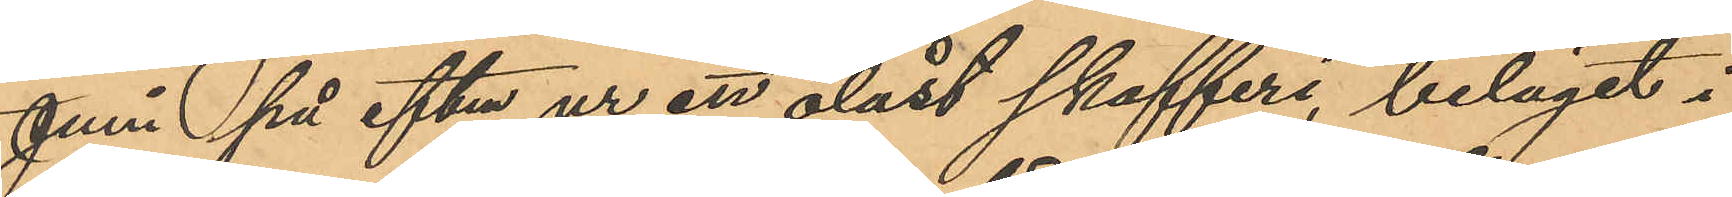Juni på eftm ur ett olåst skafferi, beläget i
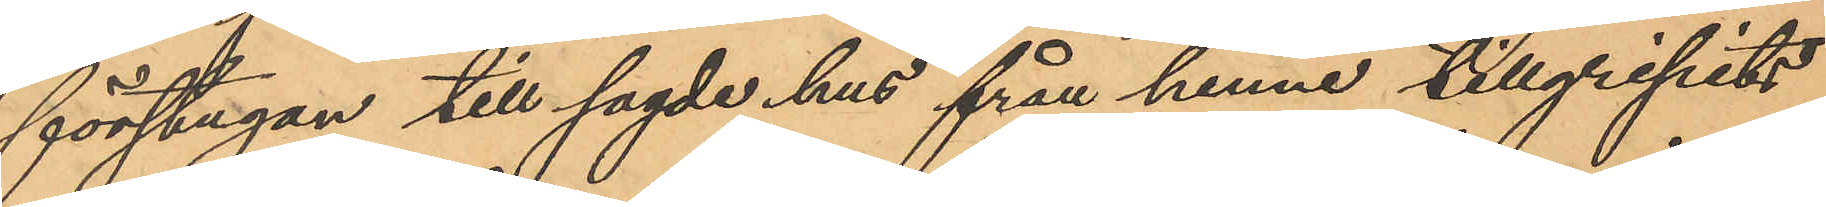förstugan till sagde hus från henne tillgripits
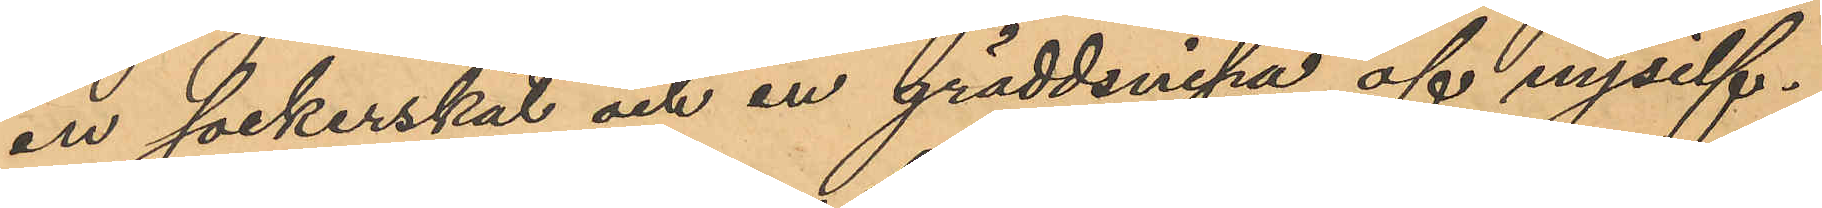en sockerskål och en gräddsnipa af nysilf¬
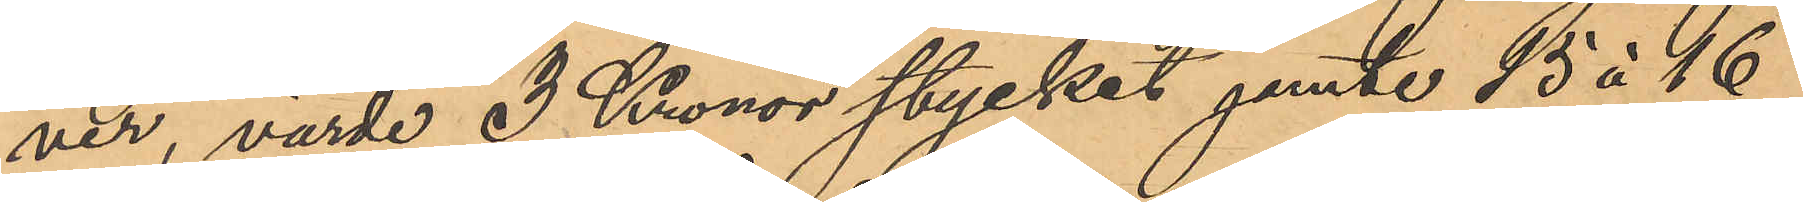ver, värde 3 Kronor stycket jemte 15 à 16
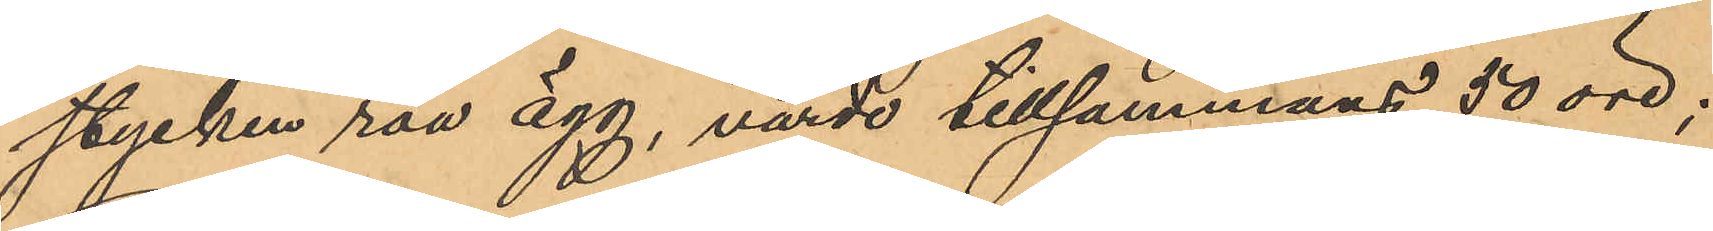stycken råa ägg, värde tillsammans 50 öre;
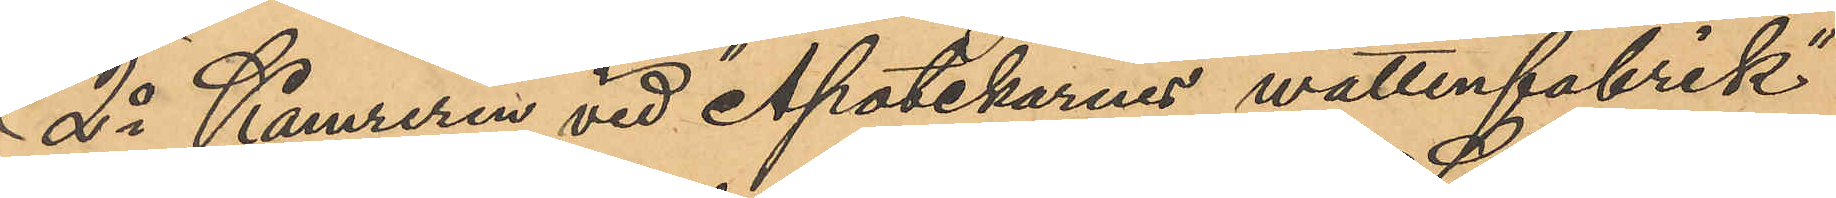2o Kamreren vid "Apotekarnes wattenfabrik"
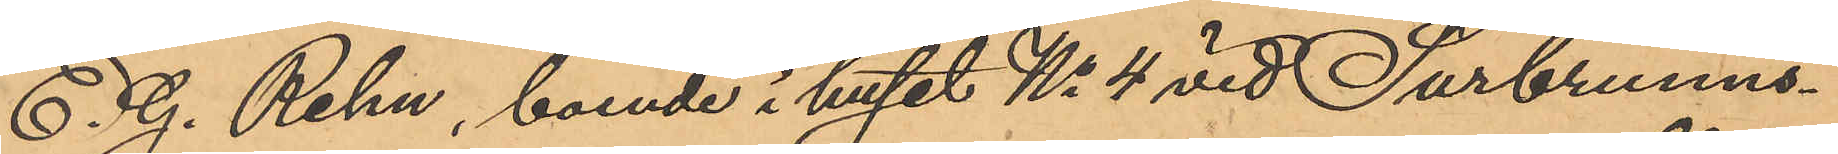E. G. Rehn, boende i huset No 4 vid Surbrunns¬
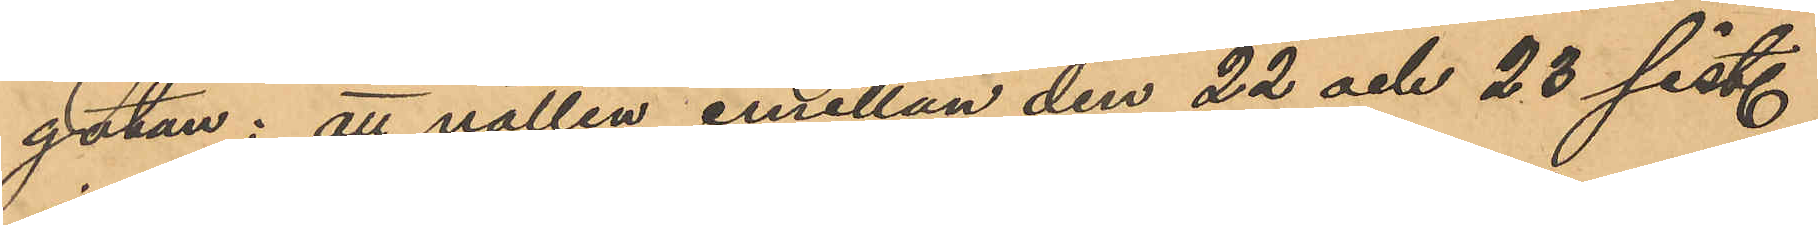gatan: att natten emellan den 22 och 28 sist.
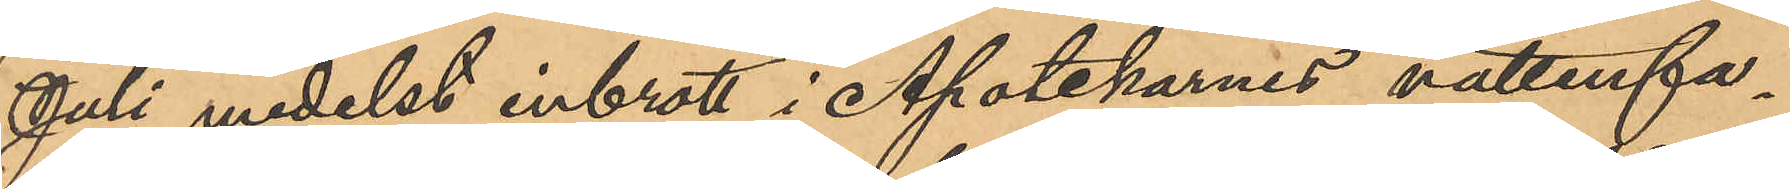Juli medelst inbrott i Apotekarnes vattenfa¬
